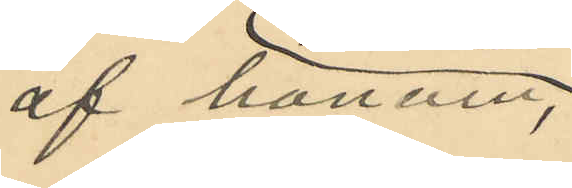af honom;
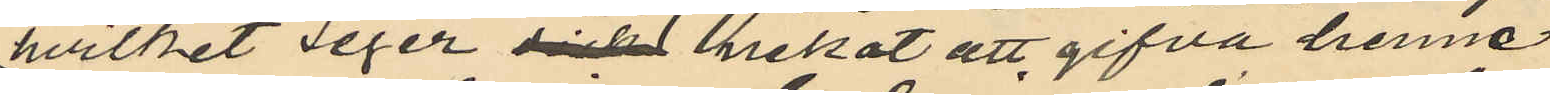hvilket Seger dick nekat att gifva henne
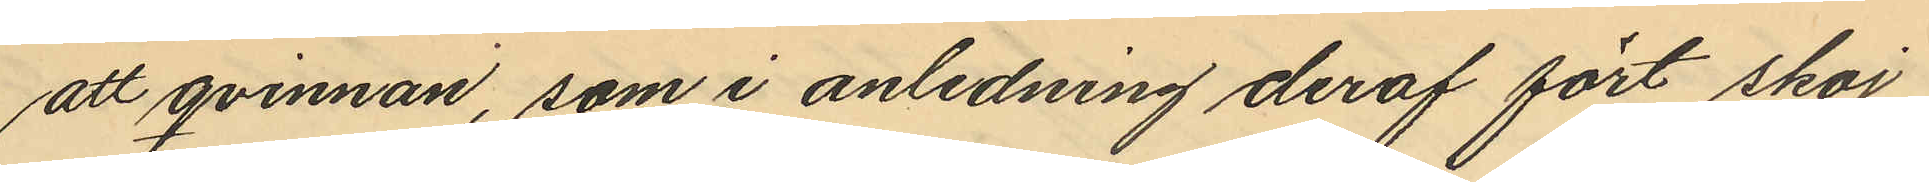att qvinnan, som i anledning deraf fört skoj
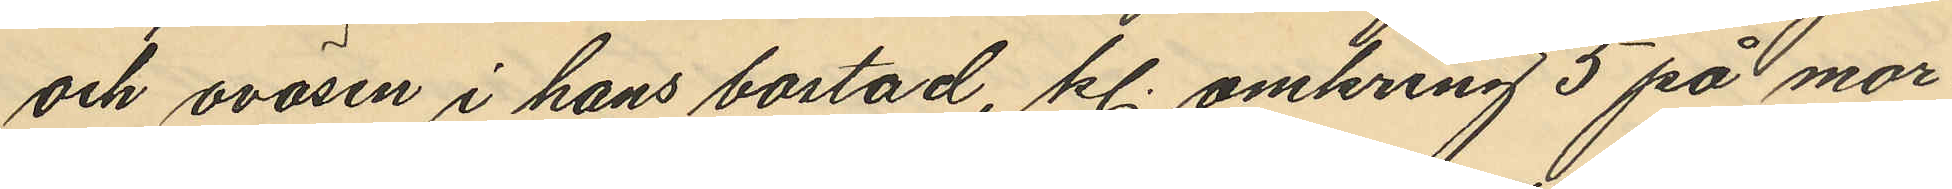och oväsen i hans bostad, kl. omkring 5 på mor¬
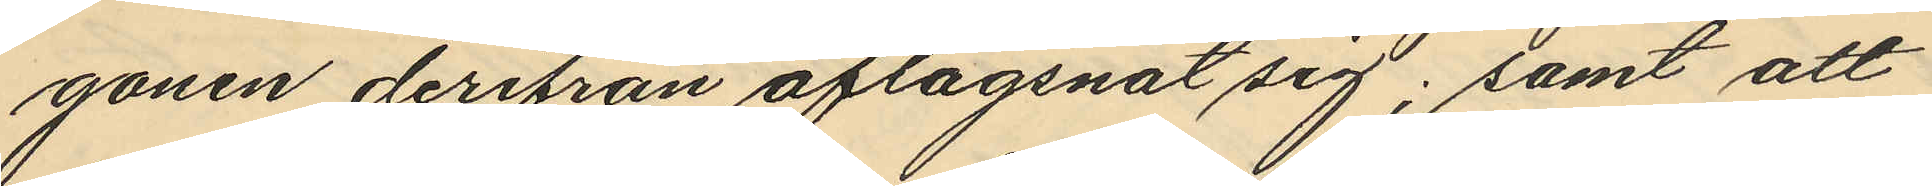gonen derifrån aflägsnat sig; samt att
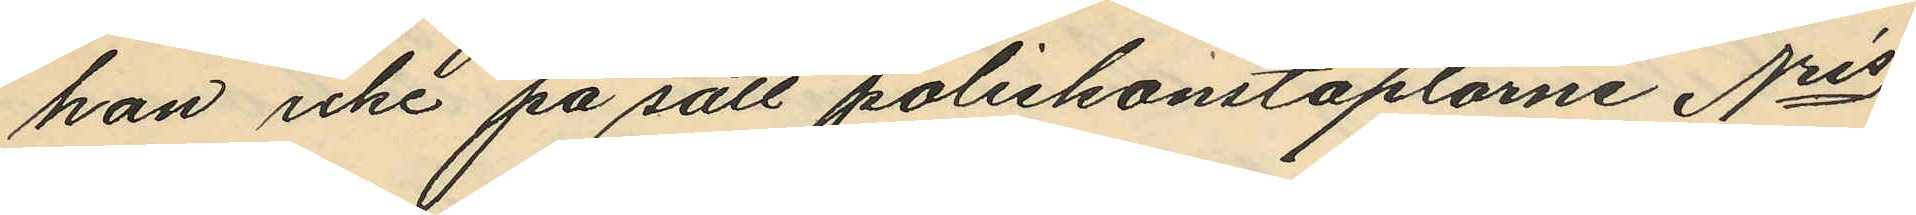han icke på sätt poliskonstaplarne Nris
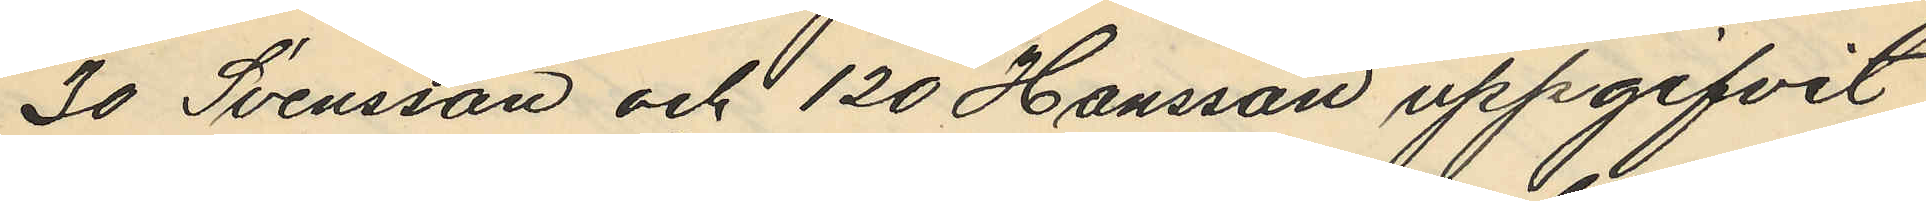30 Svensson och 120 Hansson uppgifvit
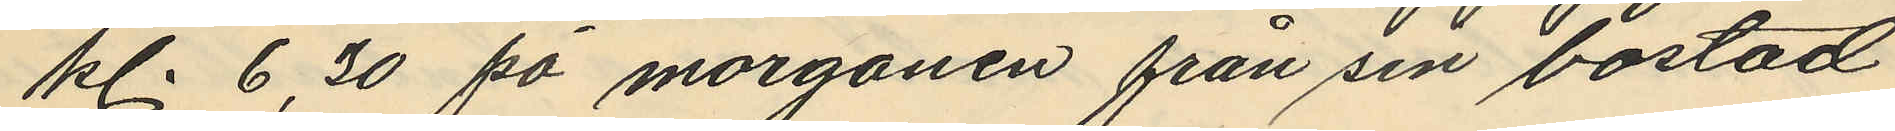kl. 6,30 på morgonen från sin bostad
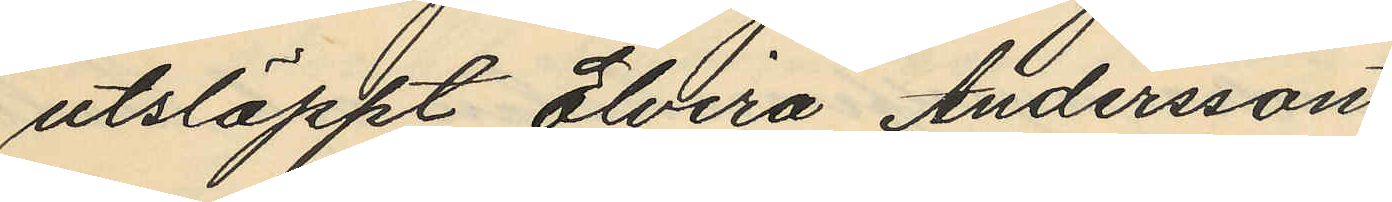utsläppt Elvira Andersson
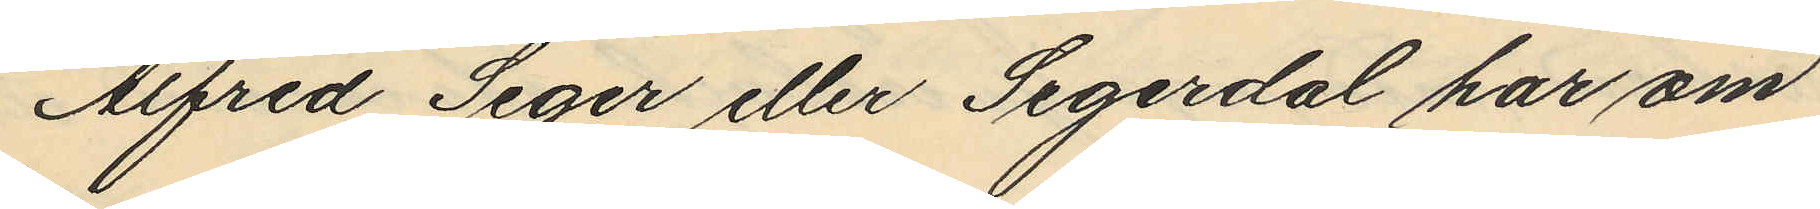Alfred Seger eller Segerdal har om
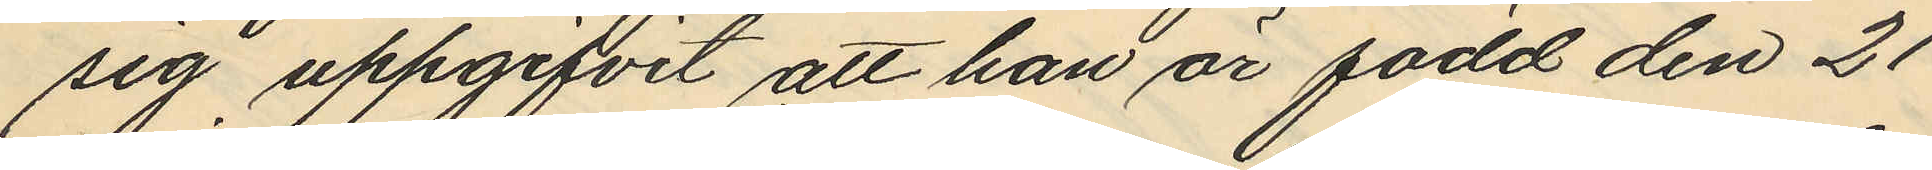sig uppgifvit att han är född den 21
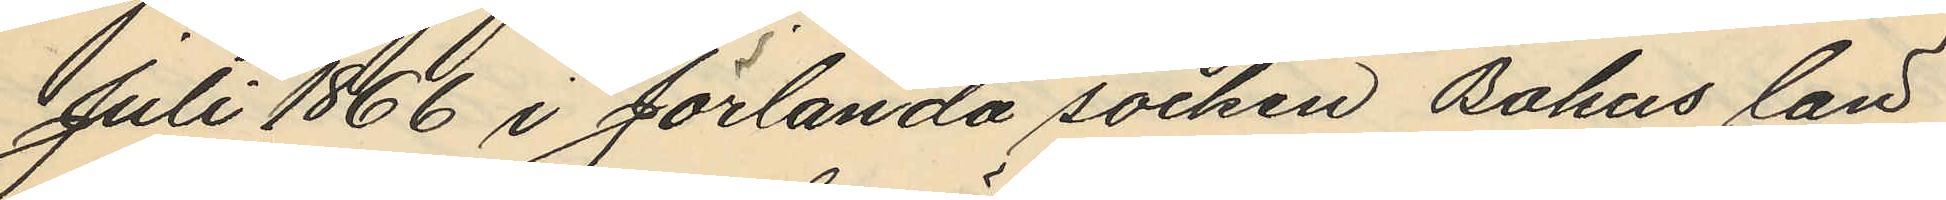Juli 1866 i Jörlanda socken Bohus län
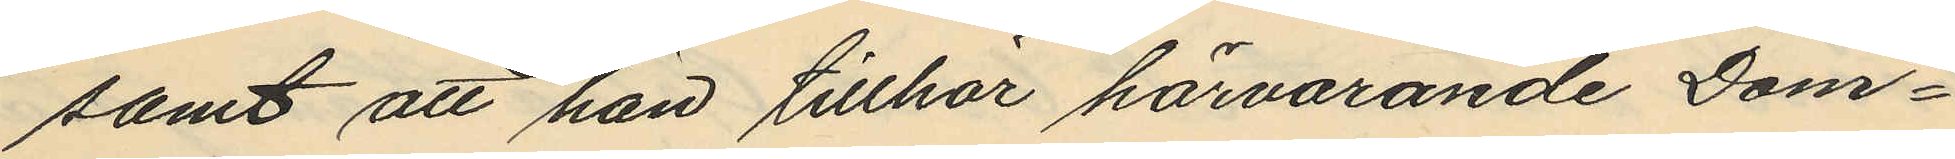samt att han tillhör härvarande Dom¬
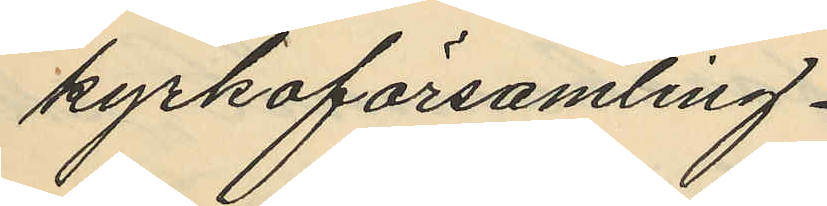kyrkoförsamling.
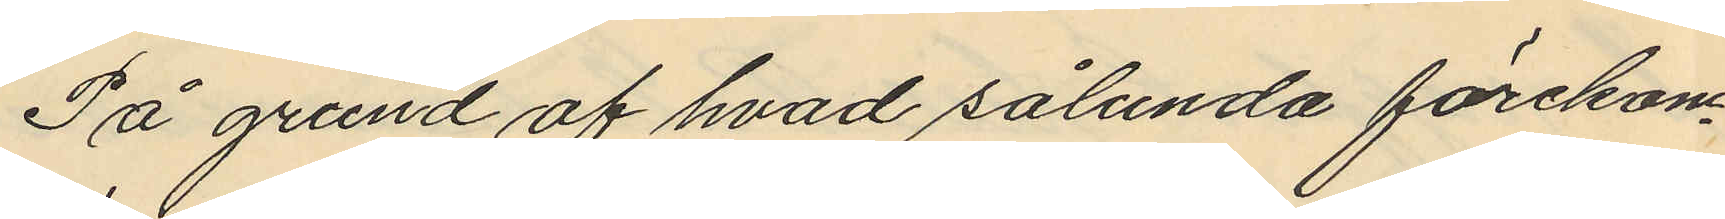På grund af hvad sålunda förekom¬
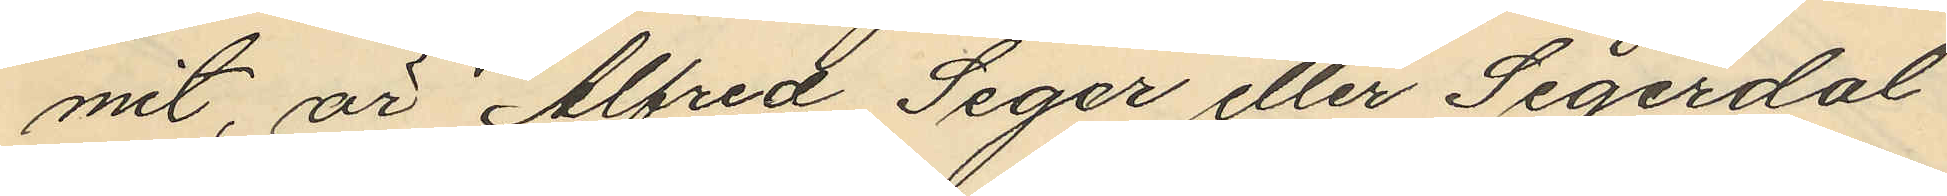mit, är Alfred Seger eller Segerdal
